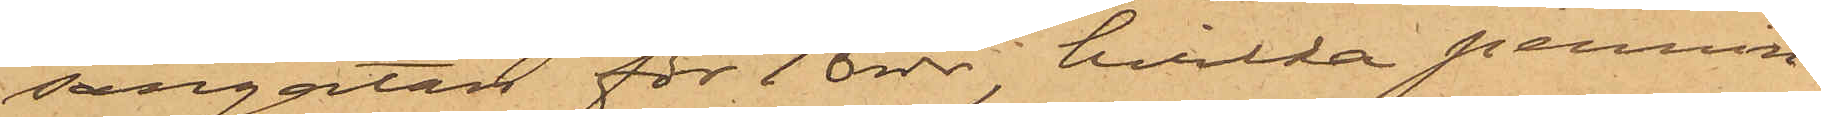sargatan för 10 rdr, hvilka pennin¬
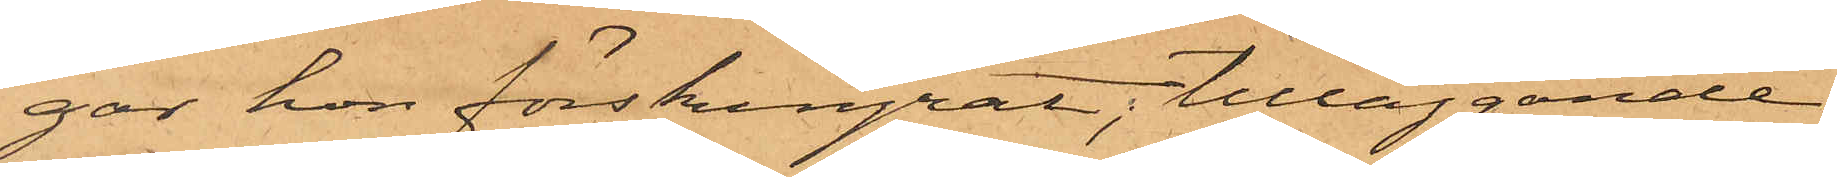gar hon förskingrat, tilläggande
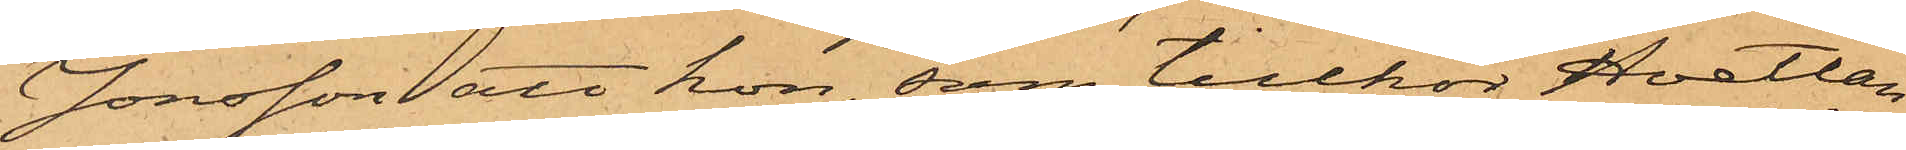Jonsson, att hon, som tillhör Hvetlan¬
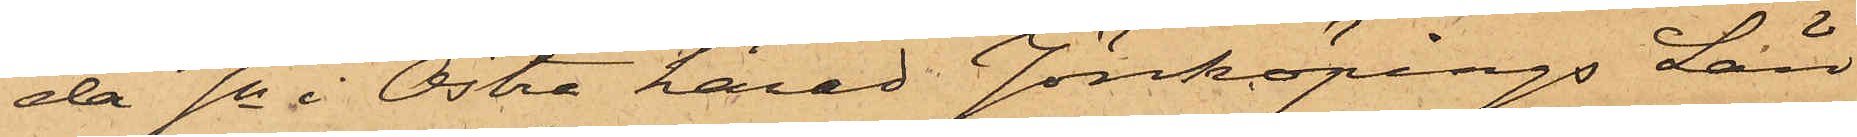da Sn i Östra härad Jönköpings Län
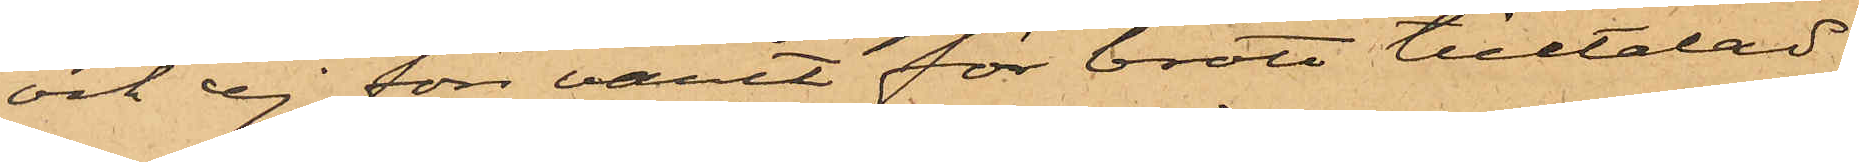och ej förr varit för brott tilltalad
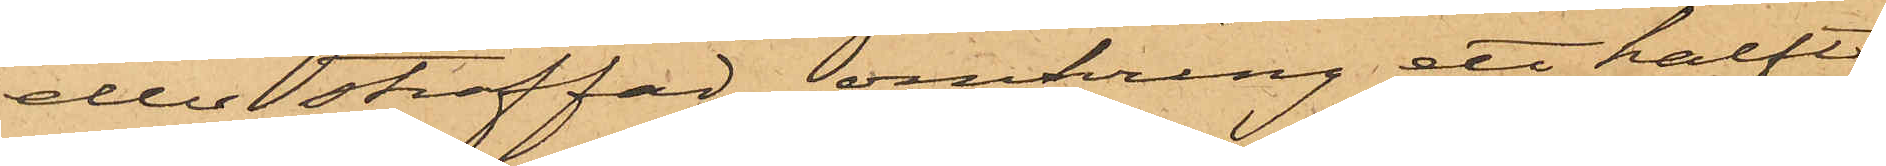eller straffad, omkring ett halft
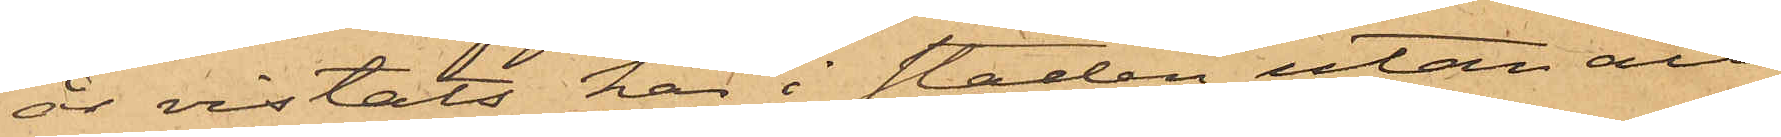år vistats här i staden utan att
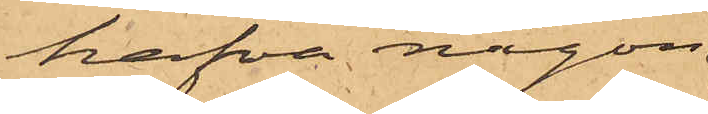hafva någon
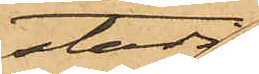stadig
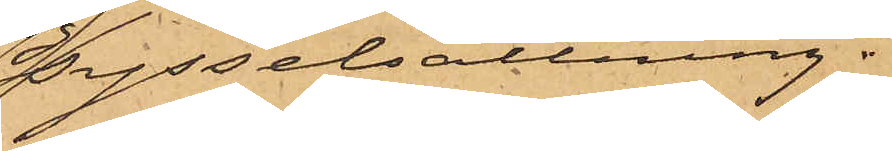sysselsättning.
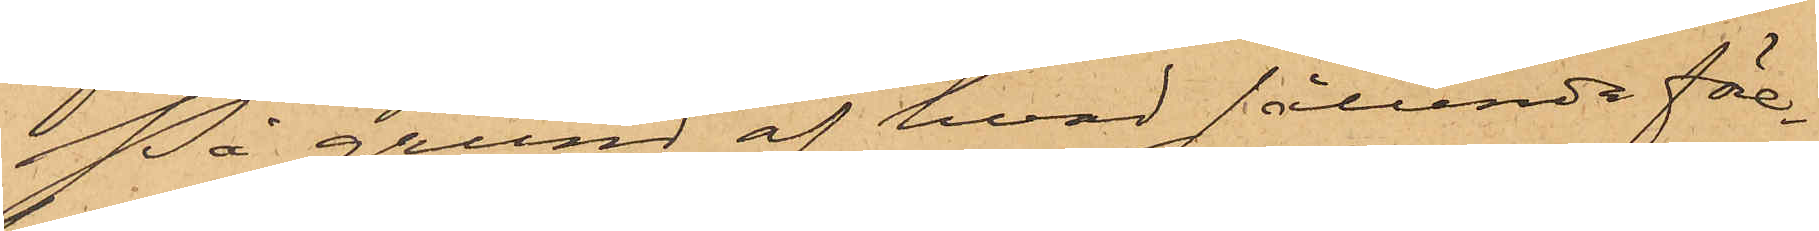På grund af hvad sålunda för¬
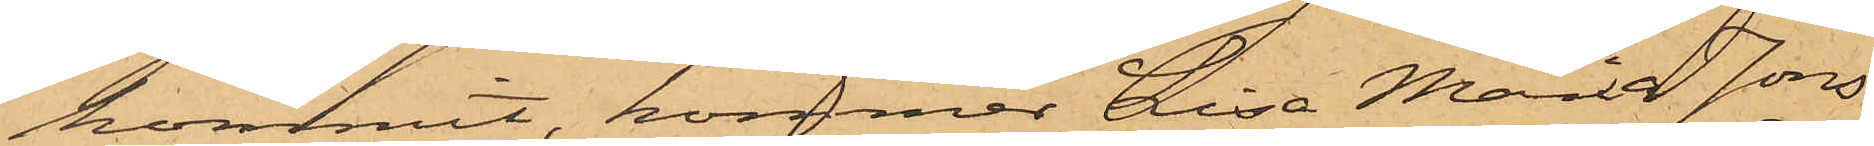kommit, kommer Lisa Maria Jons¬
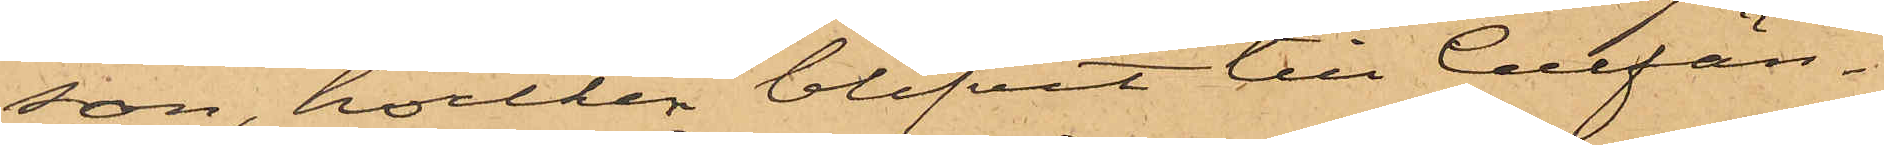son, hvilken blifvit till Cellfän¬
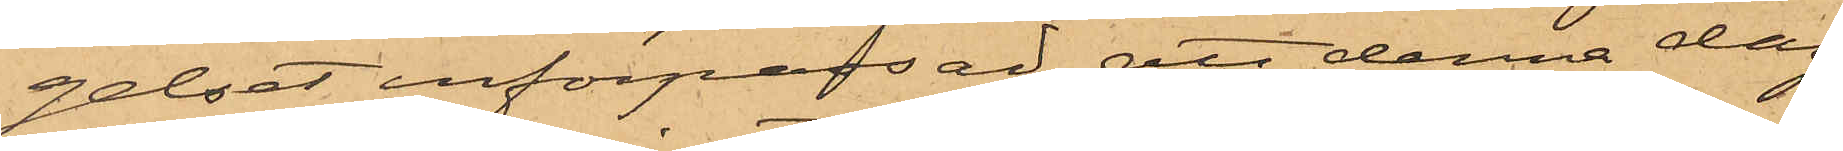gelset införpassad, att denna dag
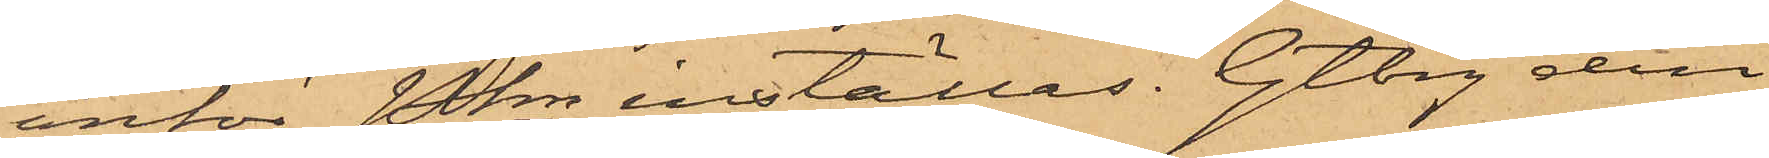inför Pkn inställas. Gtbrg den
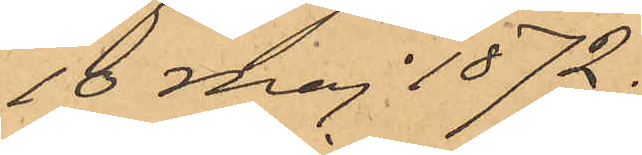10 Maj 1872.
